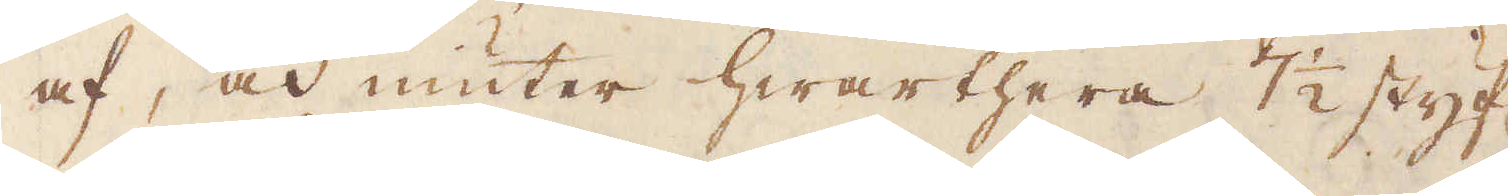af, och niuter hwarthera 7 1/2 styf:r
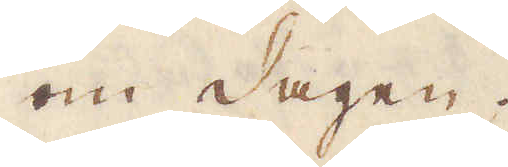om dagen.
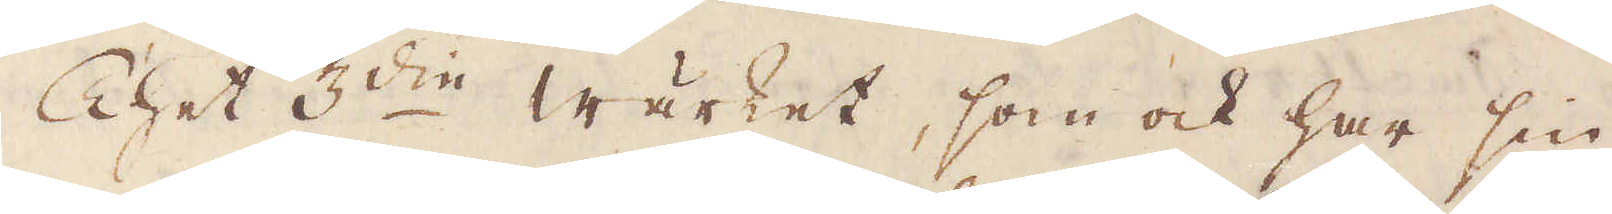Thet 3:die wärket, som ock har sin
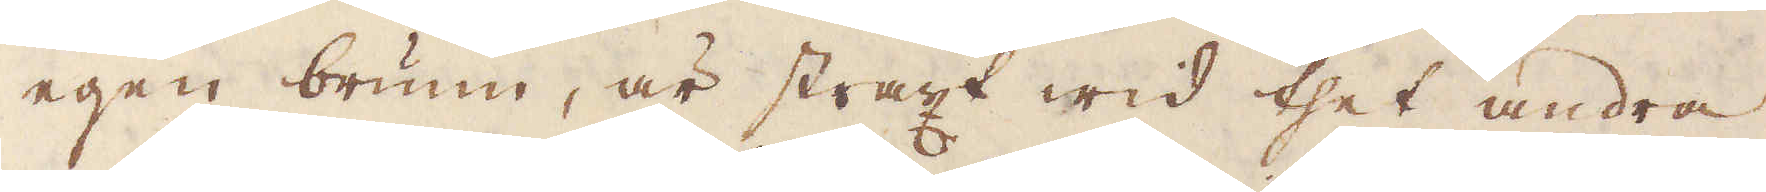egen brunn, är straxt wid thet andra
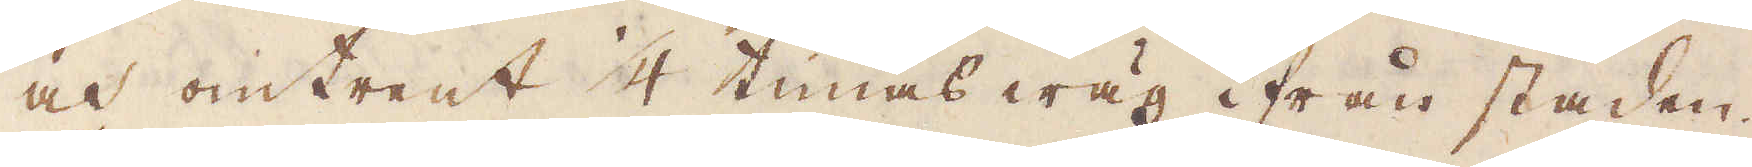och omtrent 1/4 timas wäg ifrån staden.
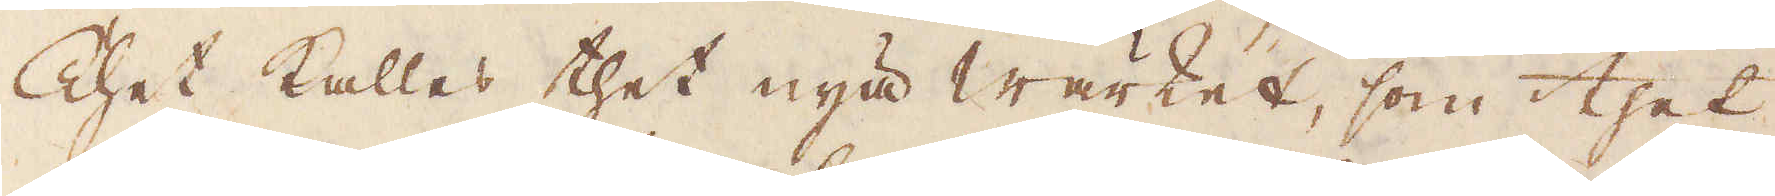Thet kallas thet nya wärket, som thet
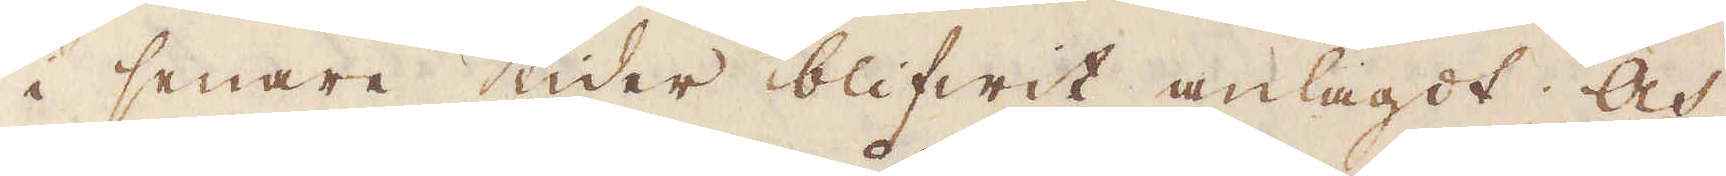i senare tider blifwit anlagdt; Och
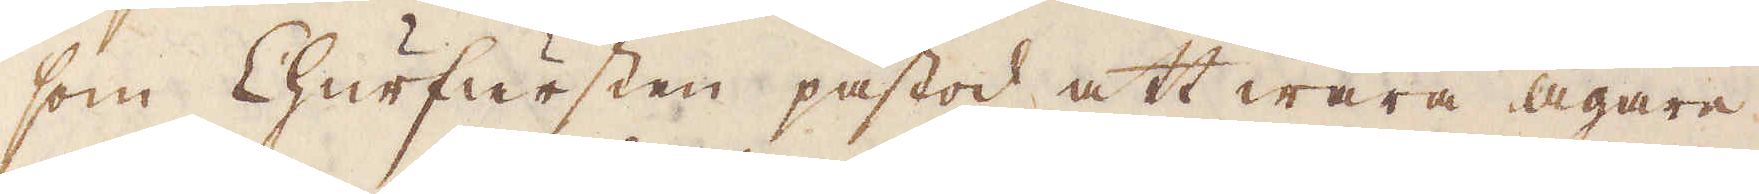som Churfursten påstod att wara ägare
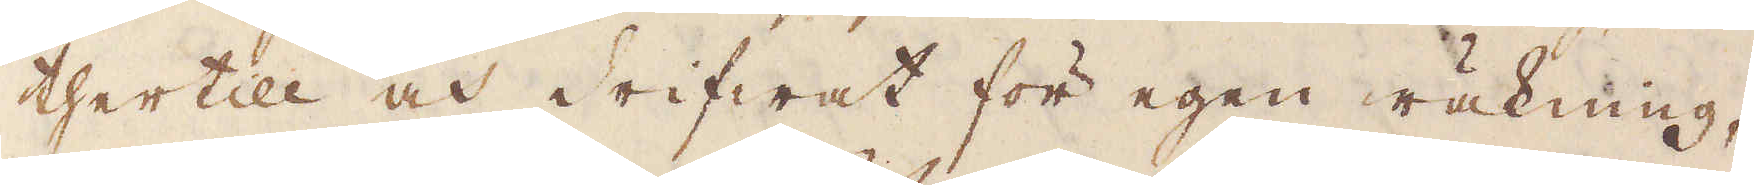thertill och drifwat för egen räkning,
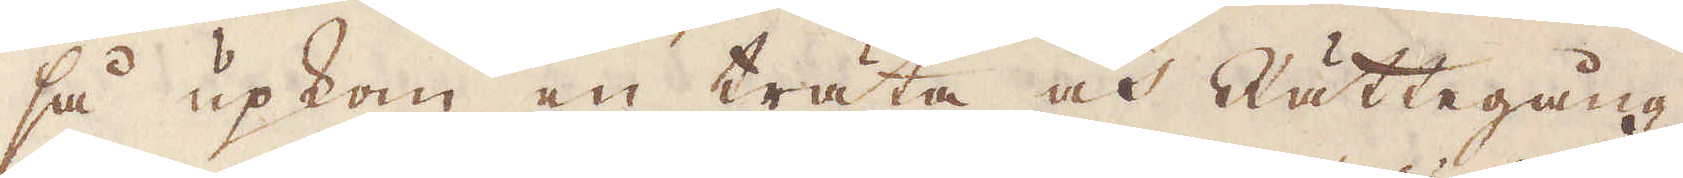så upkom en träta och Rättegång
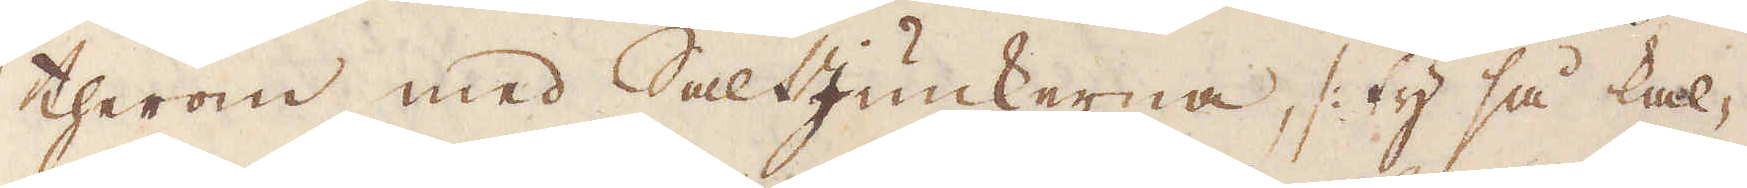therom med SaltJunkerna /: ty så kal-
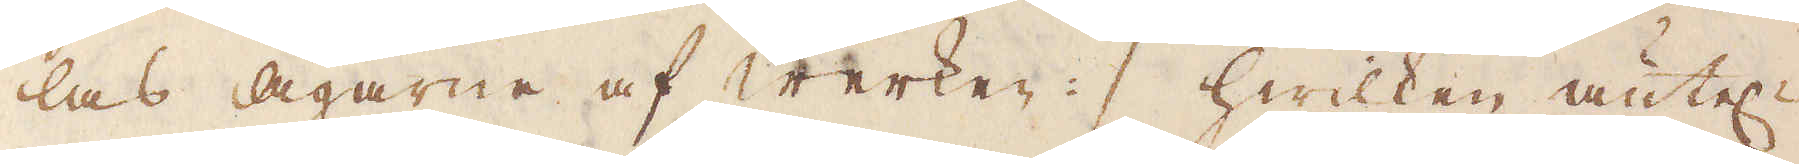las Ägarne af werken :/ hwilken äntel:n
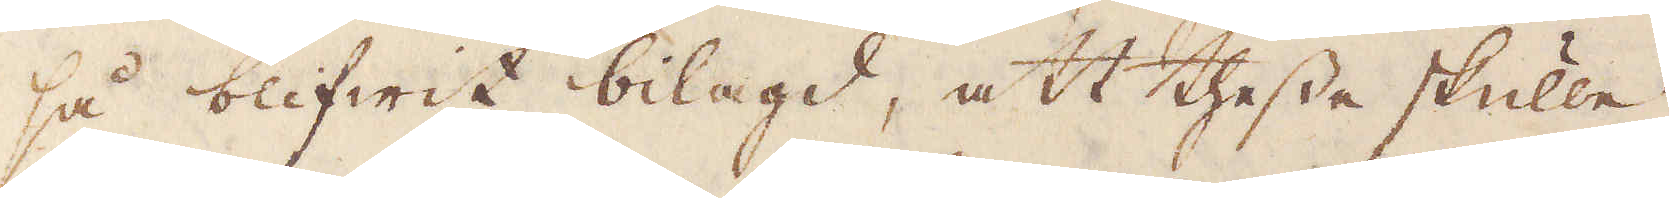så blifwit bilagd, att thesse skulle
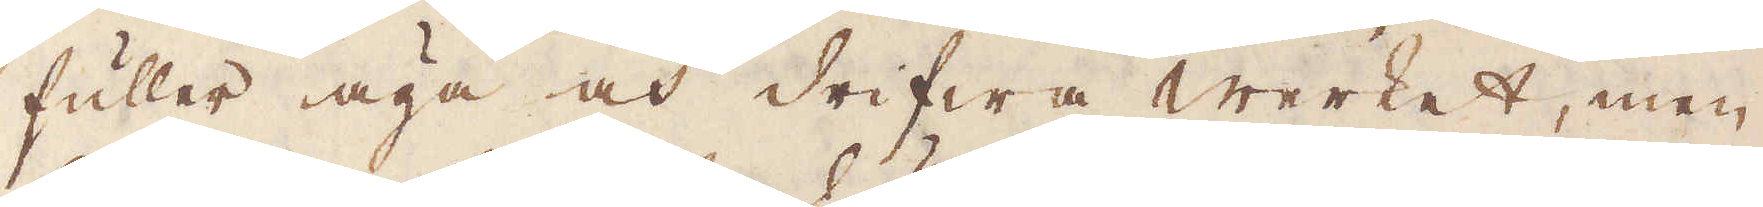fuller äga och drifwa Werket, men
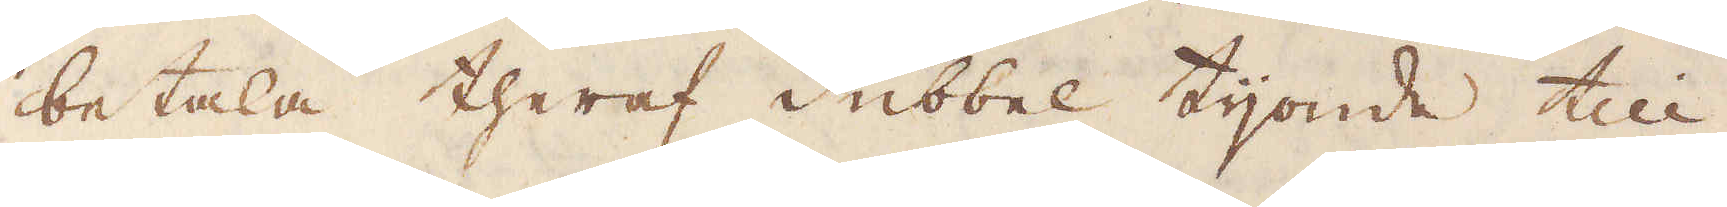betala theraf dubbel tijonde till
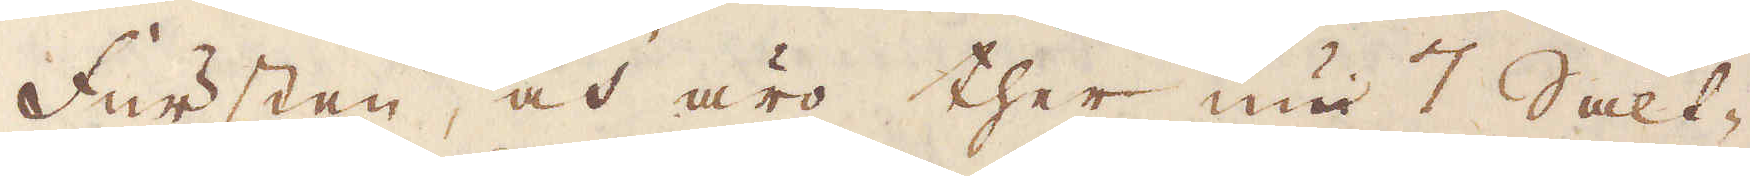fursten, och äro ther nu 7 Salt-
